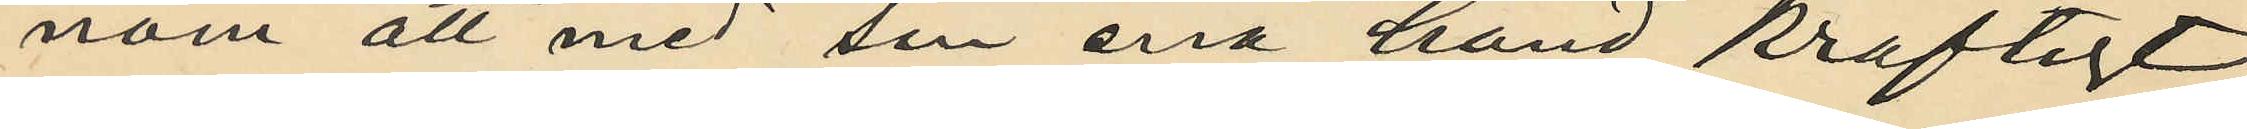nom att med sin ena hand kraftigt
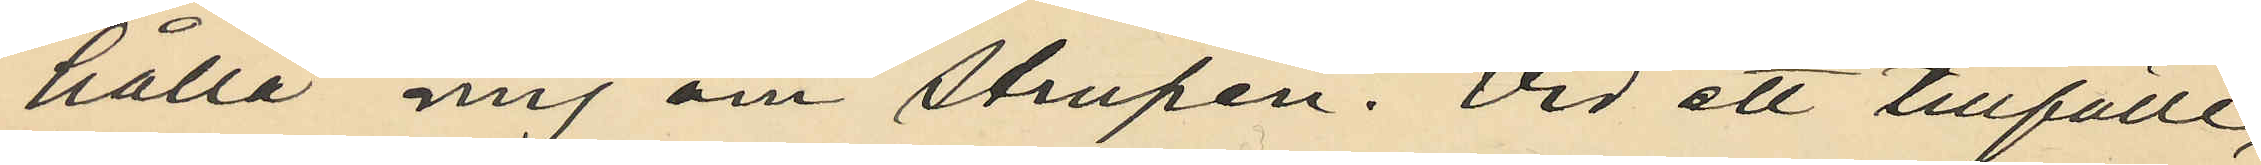hålla mig om strupen. Vid ett tillfälle,
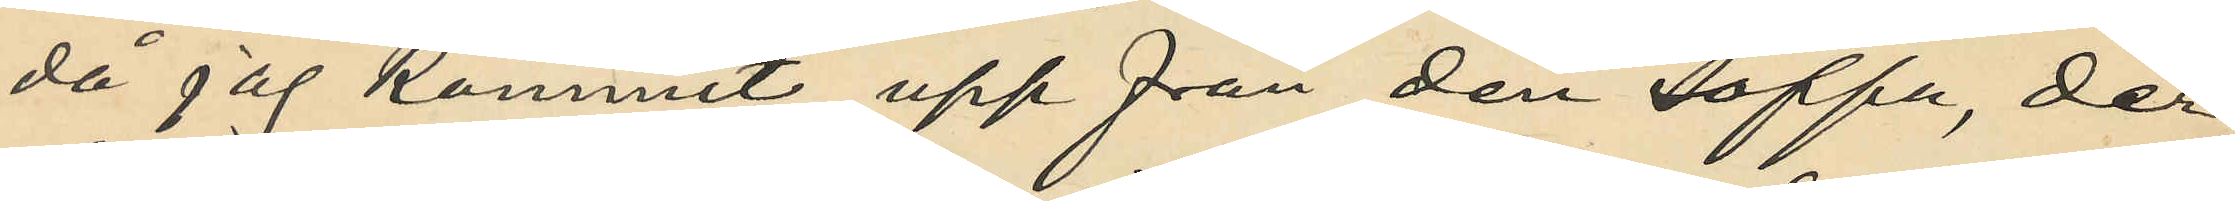då jag kommit upp från den soffa, der
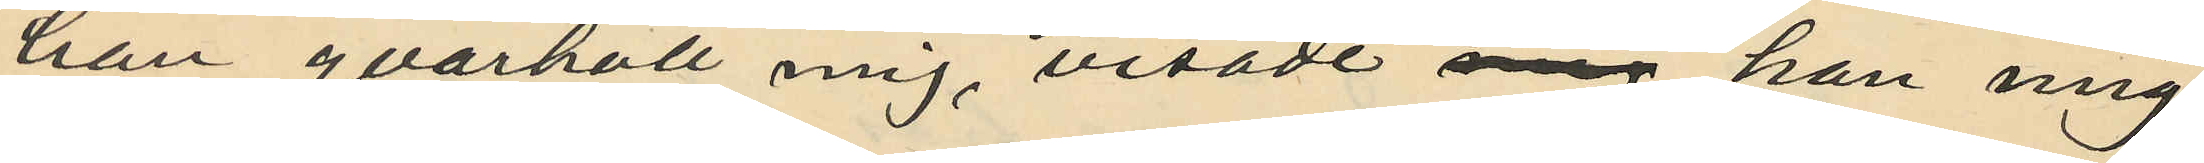han qvarhöll mig, visade mig han mig
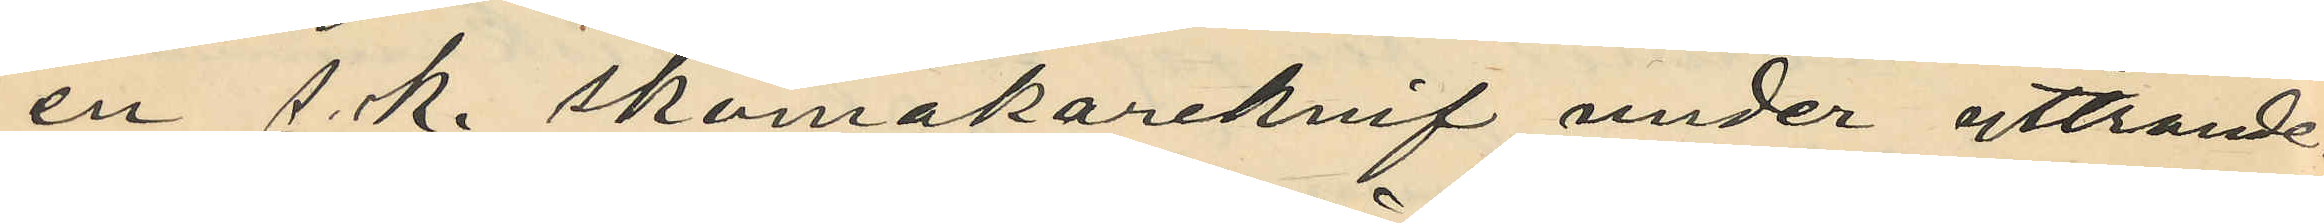en s. k. skomakareknif under yttrande
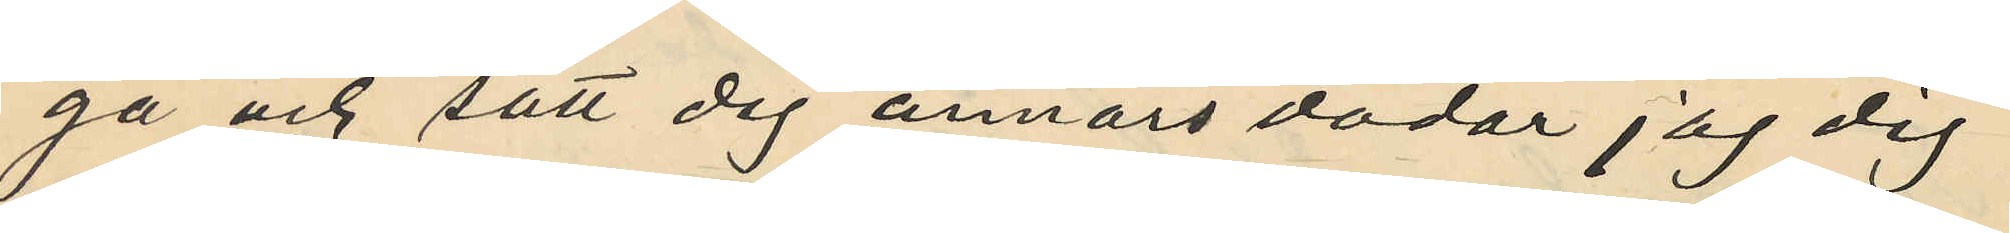"gå och sätt dig annars dödar jag dig"
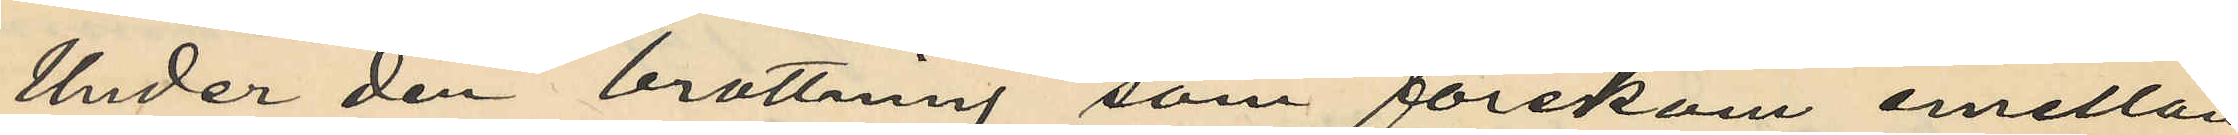Under den brottning som förekom emellan
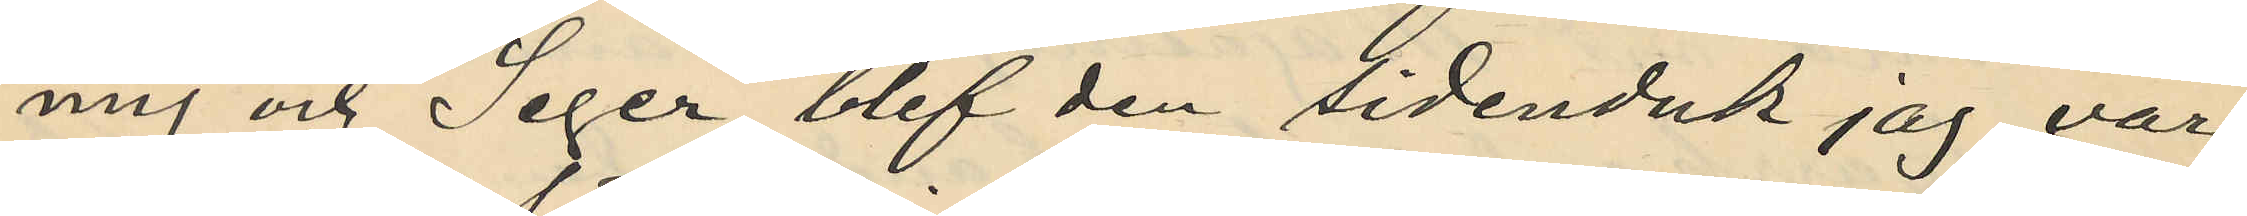mig och Seger blef den sidenduk jag var
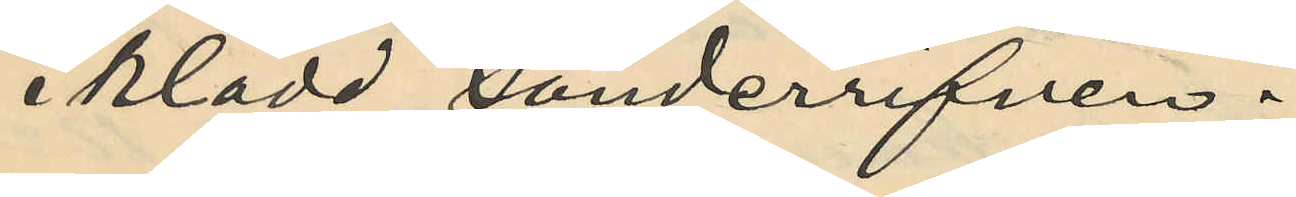iklädd sönderrifven.
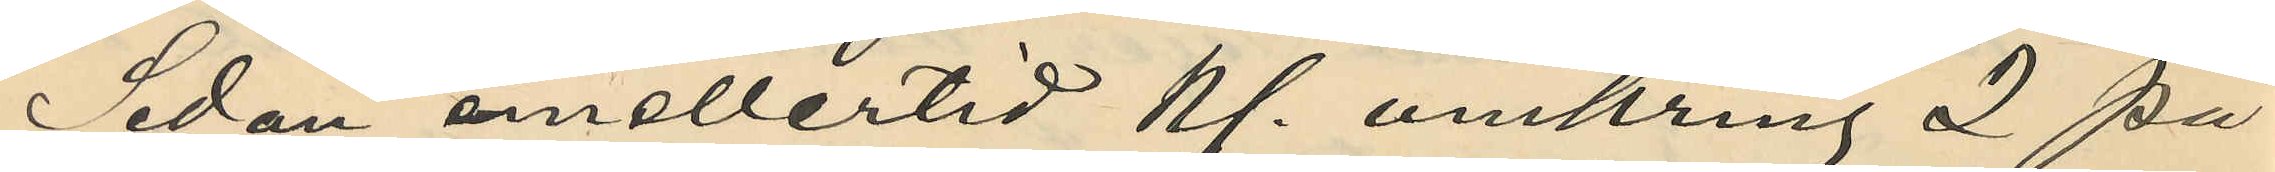Sedan emellertid kl. omkring 2 på
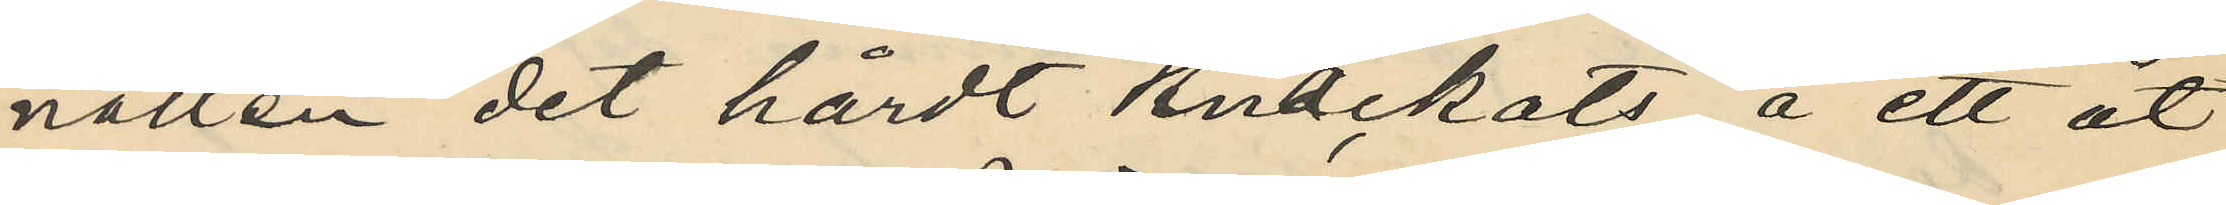natten det hårdt knackats å ett åt
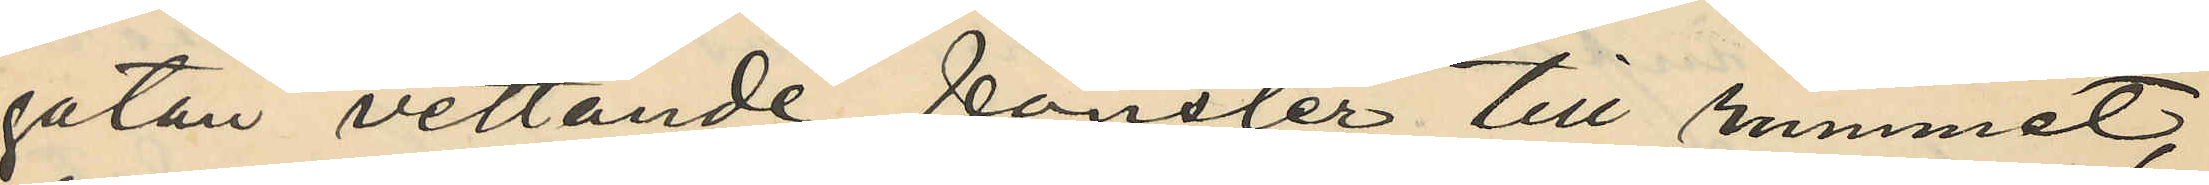gatan vettande fönster till rummet,
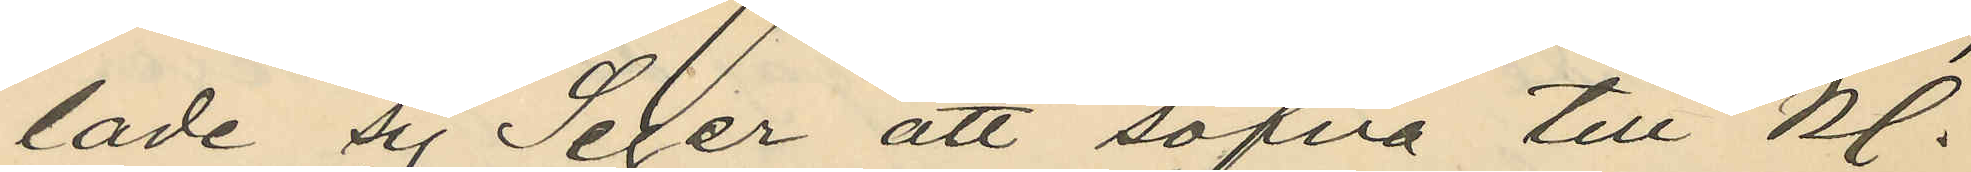lade sig Seger att sofva till Kl.
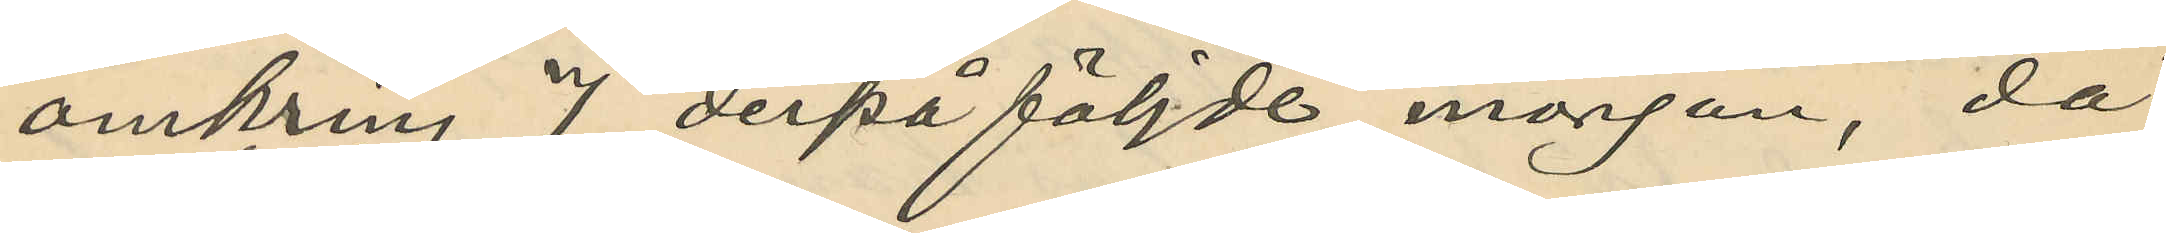omkring 7 derpå följde morgon, då
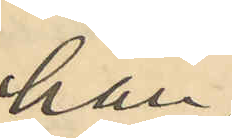han
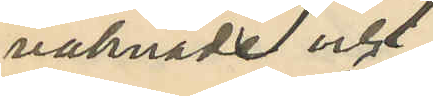vaknade och
